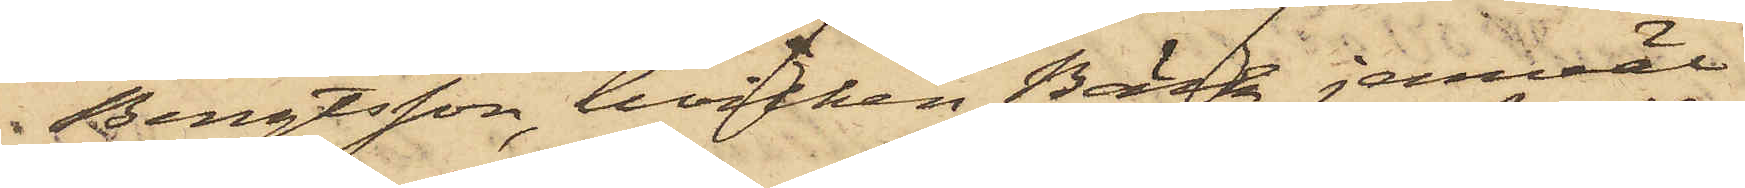Bengtsson, hvilken Bäck jemväl
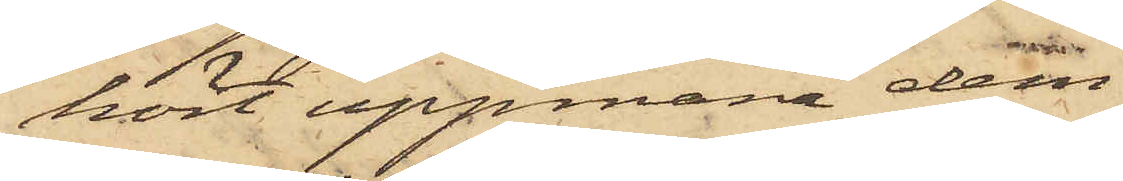hört uppmana dem
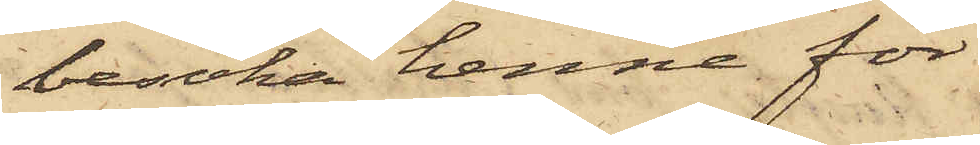besöka henne för
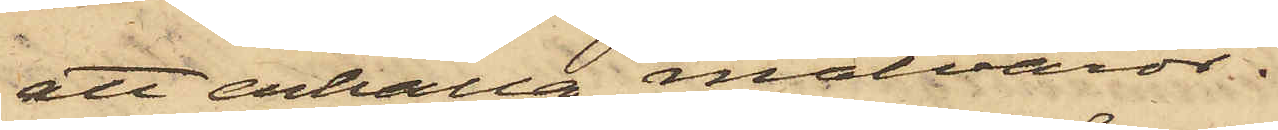att erhålla matvaror.
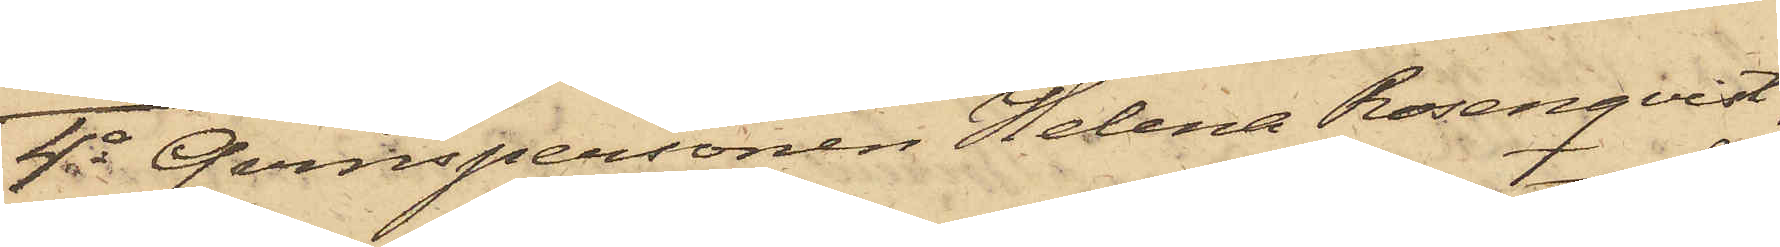4o Qvinspersonen Helena Rosenqvist,
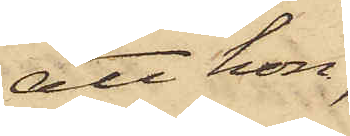att hon,
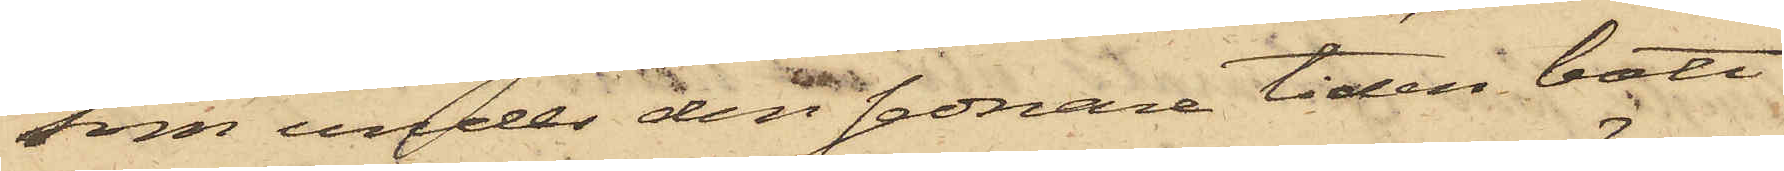som under det sednare tiden bott
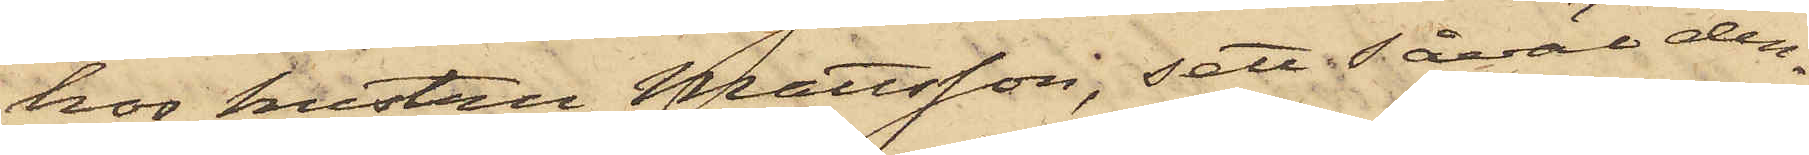hos hustru Mattsson; sett såväl den¬
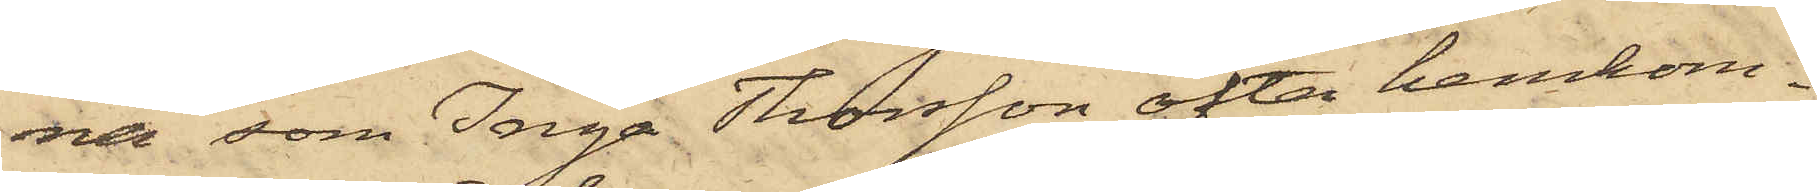na som Inga Thorsson ofta hemkom¬
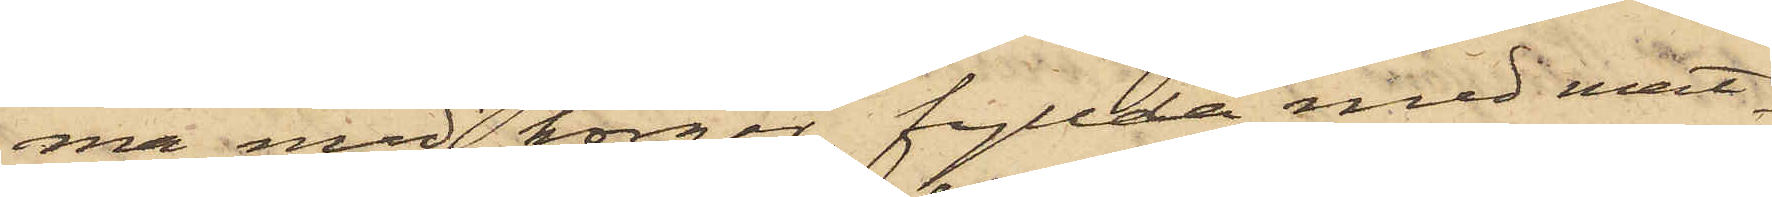ma med korgar, fyllda med mat¬
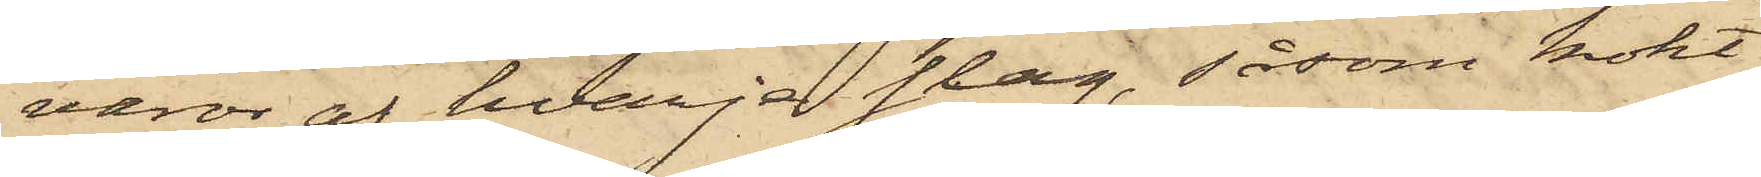varor af hvarje slag, såsom kokt
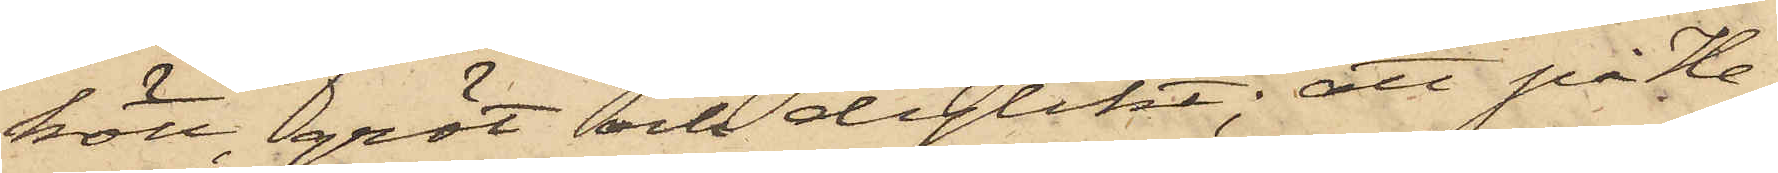kött, gröt och dylikt; att på He¬
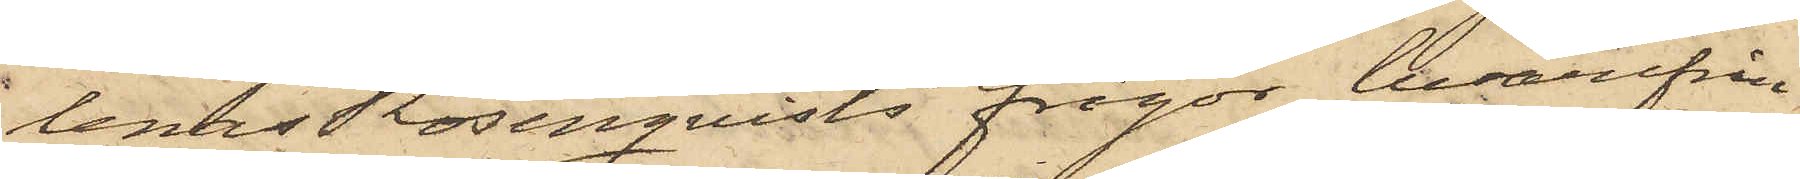lenas Rosenqvists frågar, hvarifrån
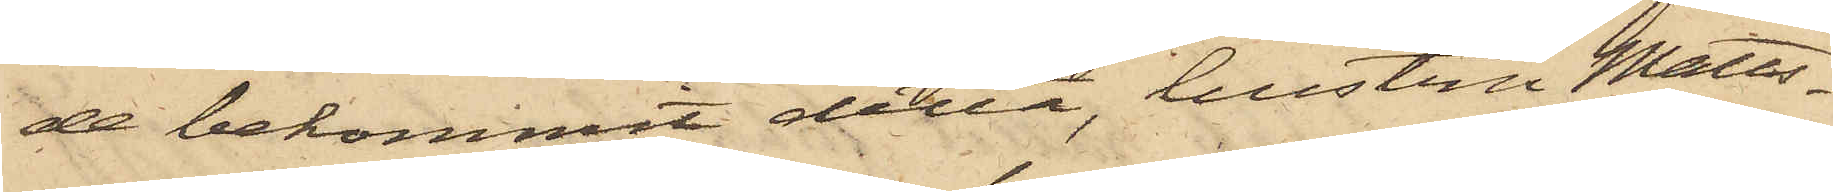de bekommit detta, hustru Matts¬
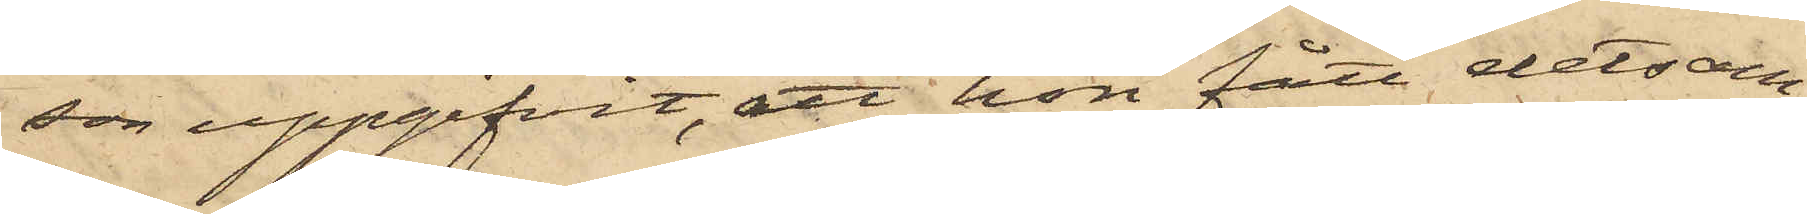son uppgifvit, att hon fått detsam¬
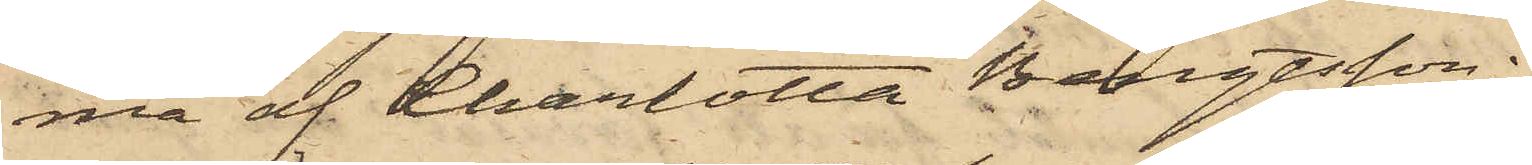ma af Charlotta Bengtsson;
